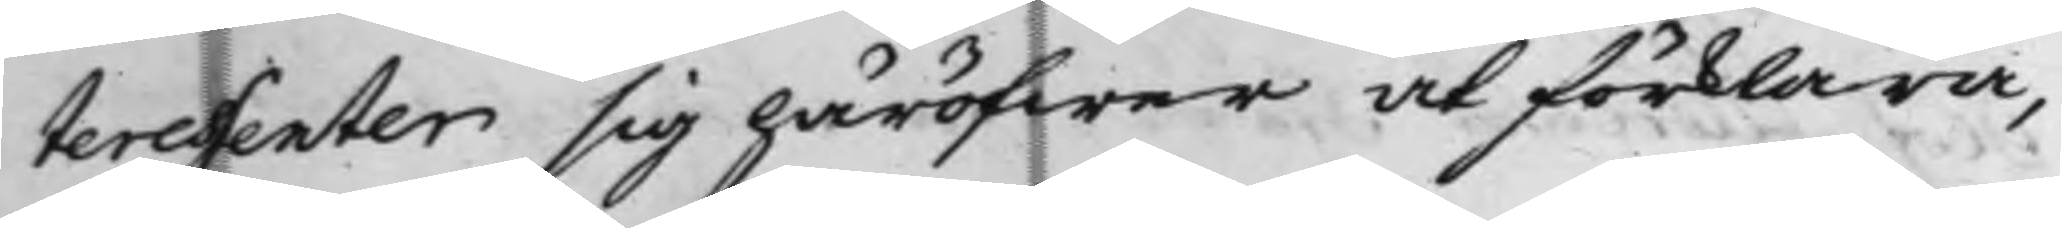teressenter sig häröfwer at förklara,
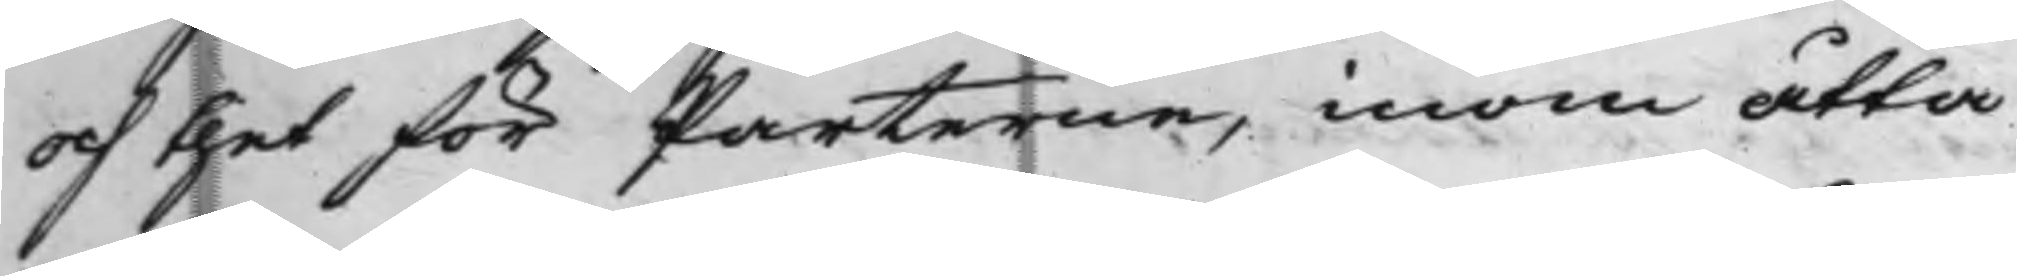och thet för Parterne, inom åtta
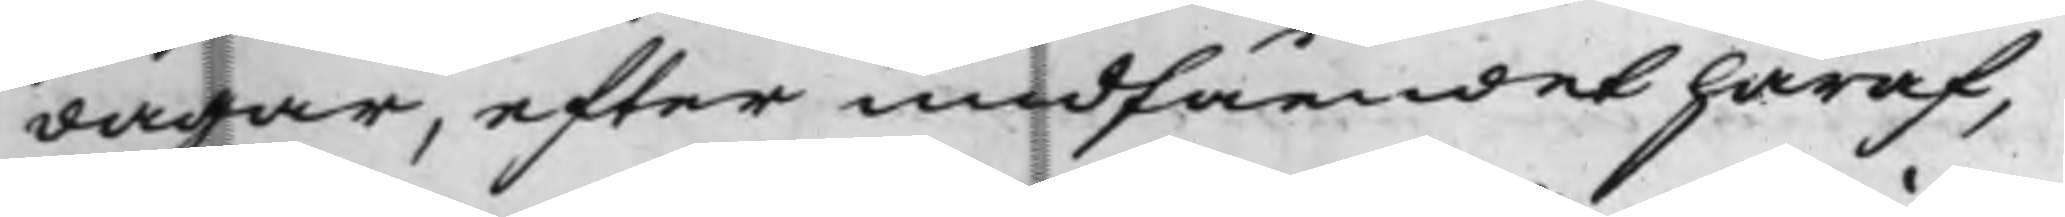dagar, efter undfåendet häraf,
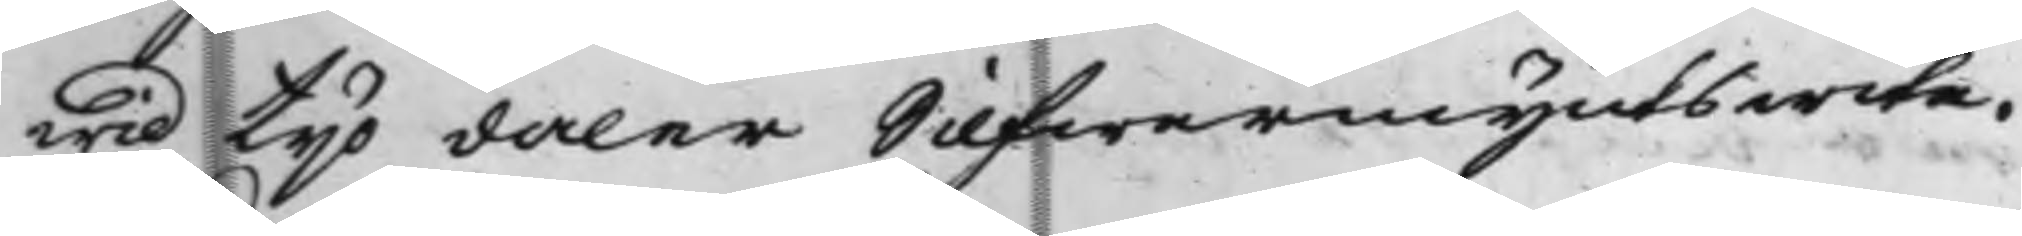wid tijo daler Silfwermynts wite.
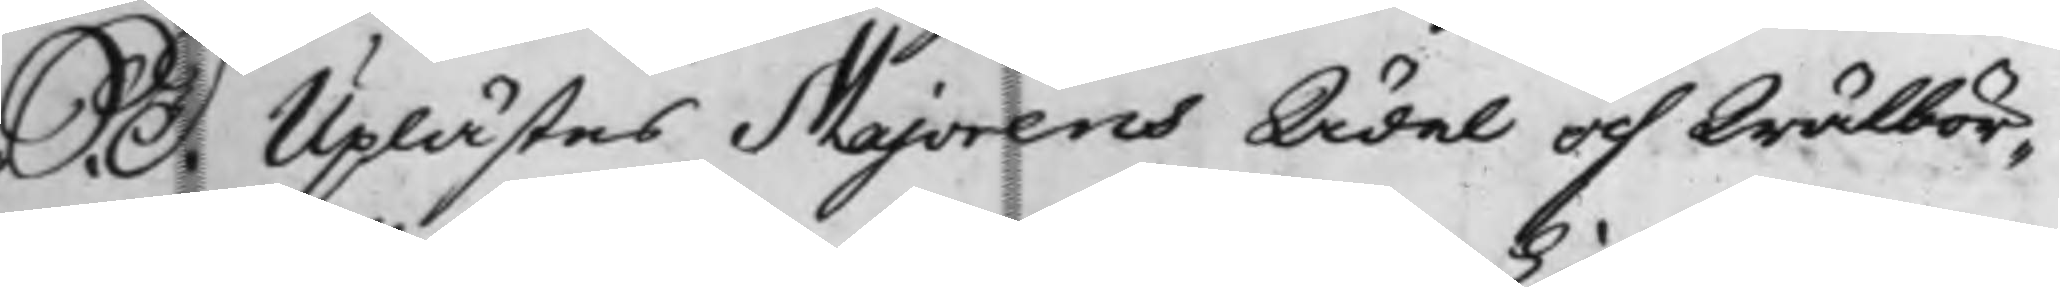S: D: Uplästes Majorens Ädel och Wälbör¬
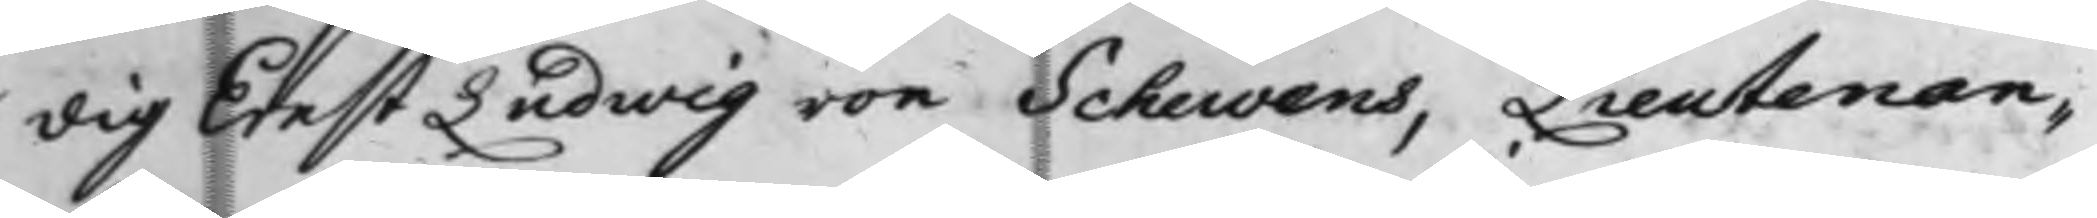dig Ernst Ludwig von Schewens, Lieutenan¬
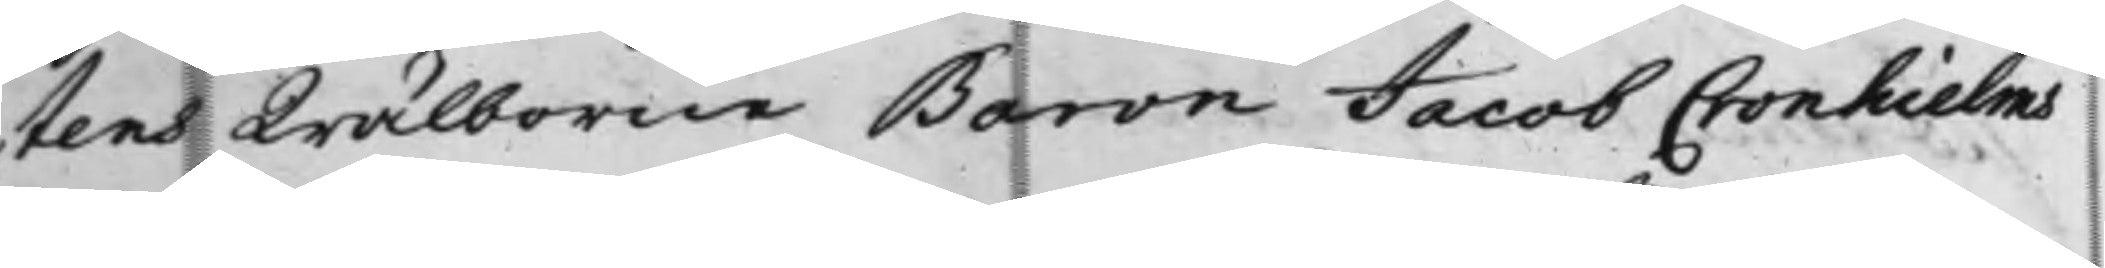tens Wälborne Baron Jacob Cronhielms
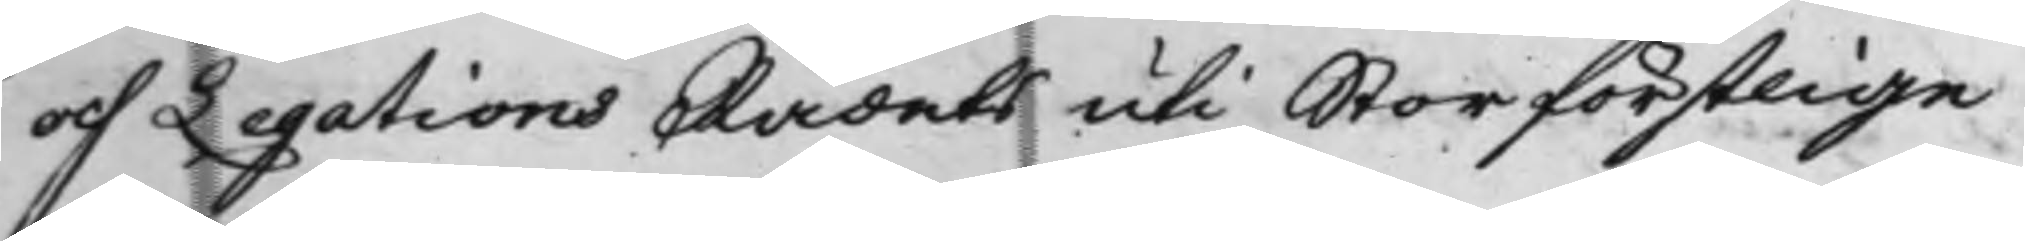och Legations Rådets uti Storförstlige
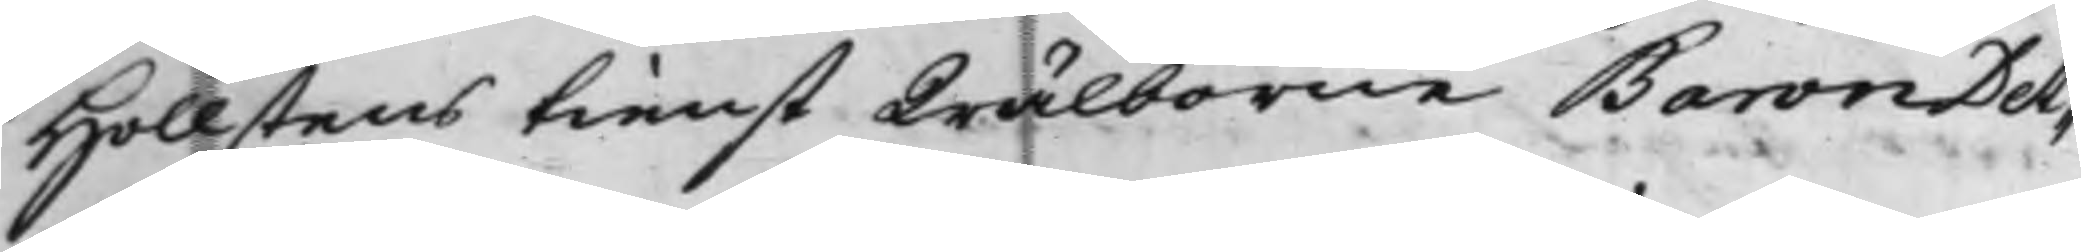Hollstens tienst Wälborne Baron Det¬
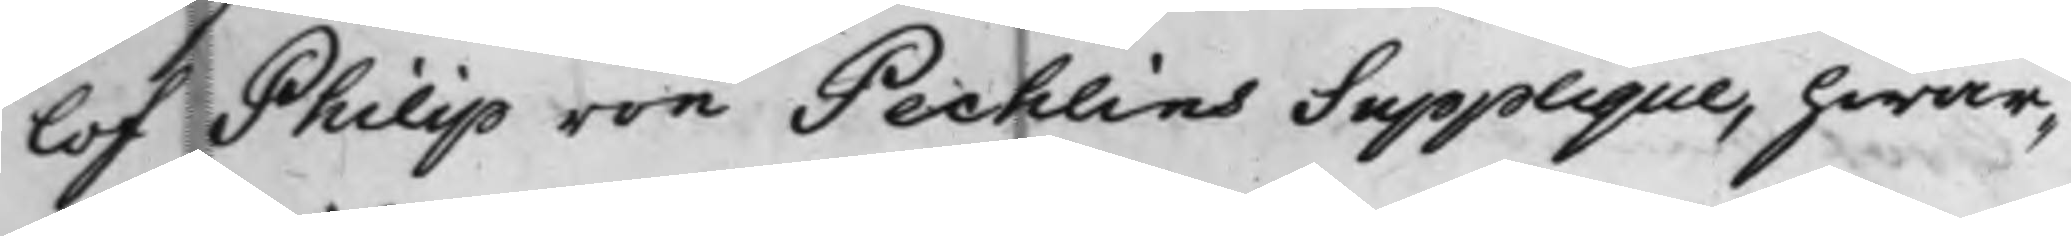lof Philip von Pechlins Supplique, hwar¬
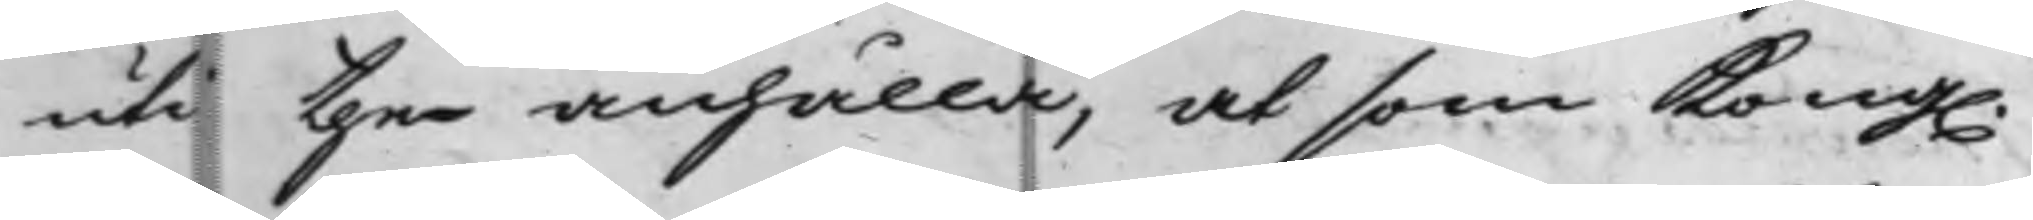uti the anhålla, at som Kong.
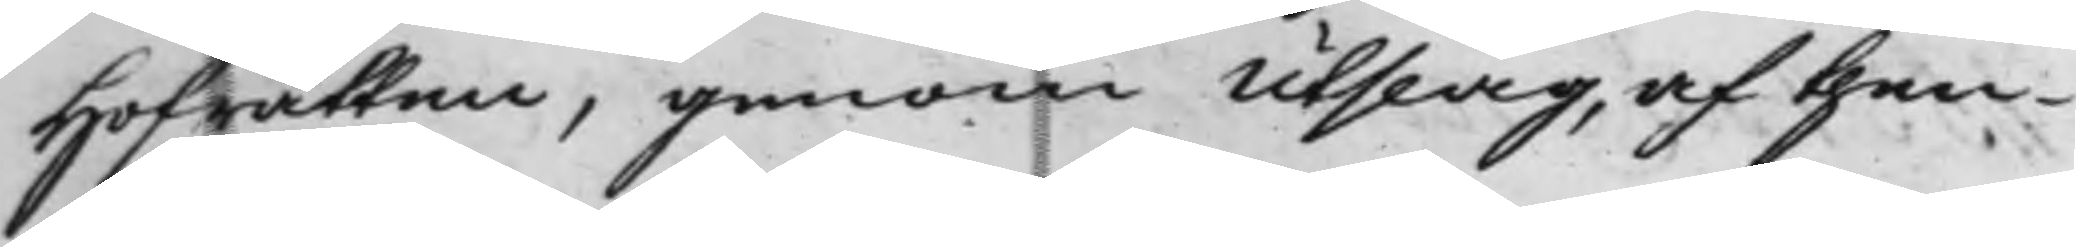Hofrätten, genom Utslag, af then
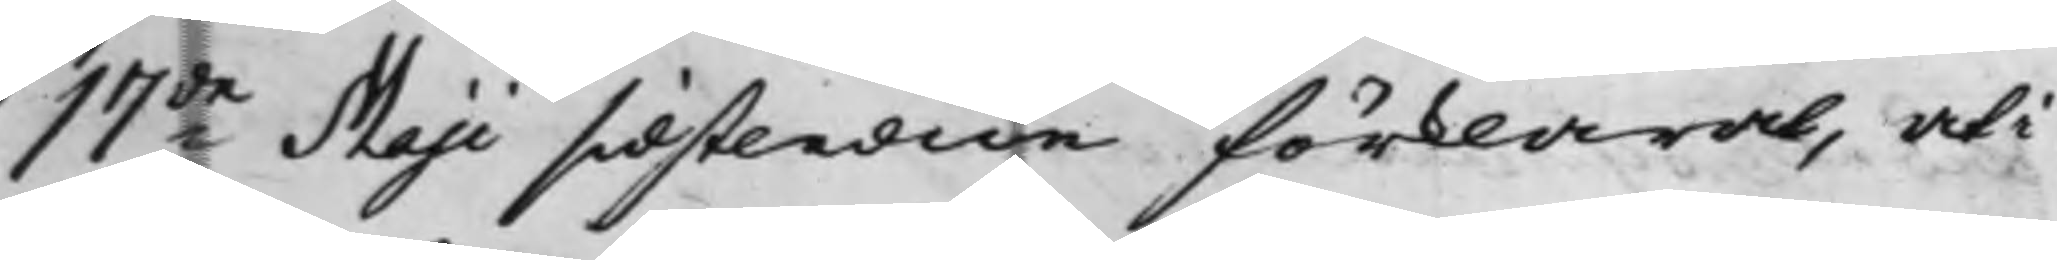17de Maji sidstledne förklarat, uti
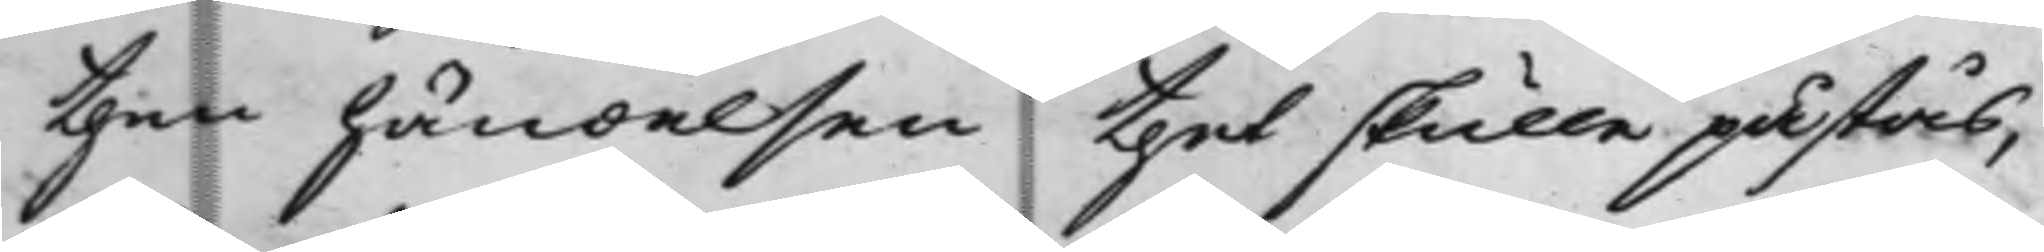then händelsen thet skulle påstås,
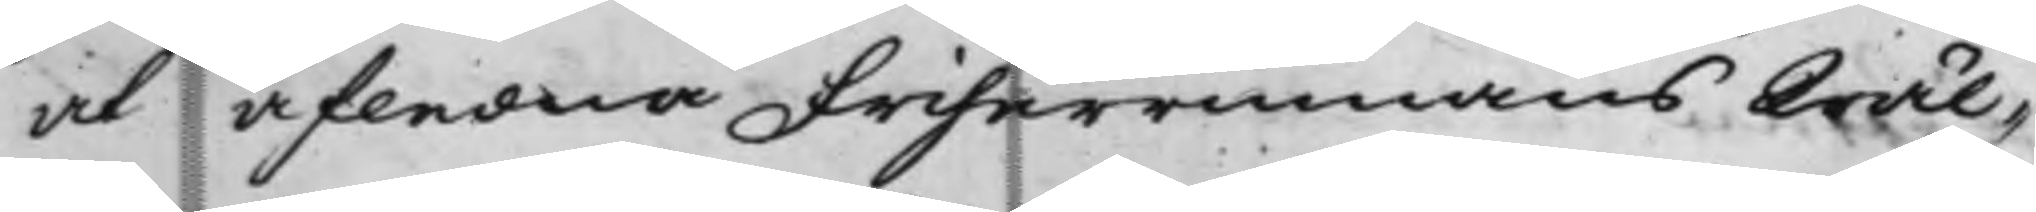at afledne Friherrinnans Wäl¬
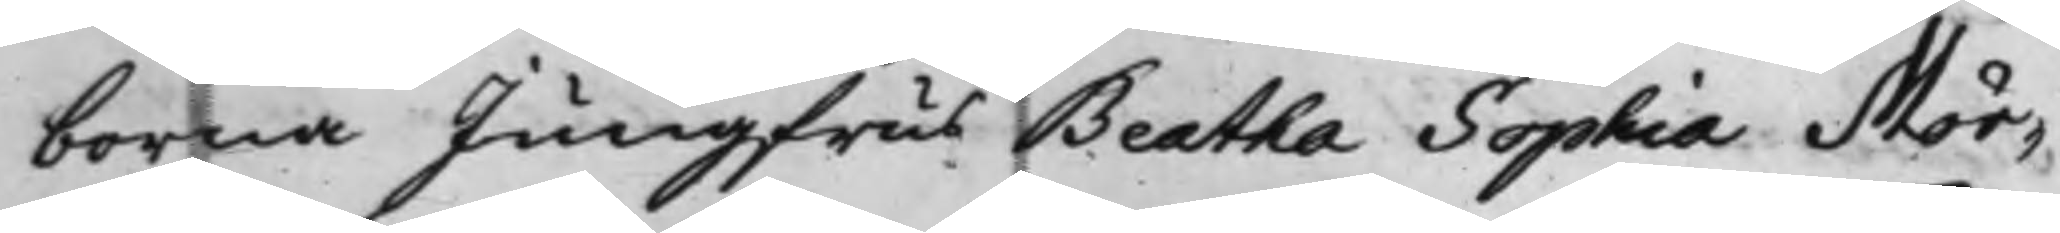borna Jungfrus Beatha Sophia Mör¬
